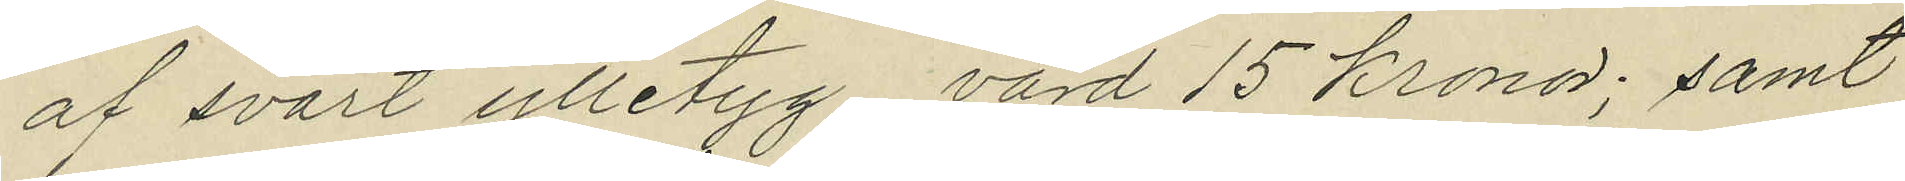af svart ylletyg, värd 15 kronor; samt
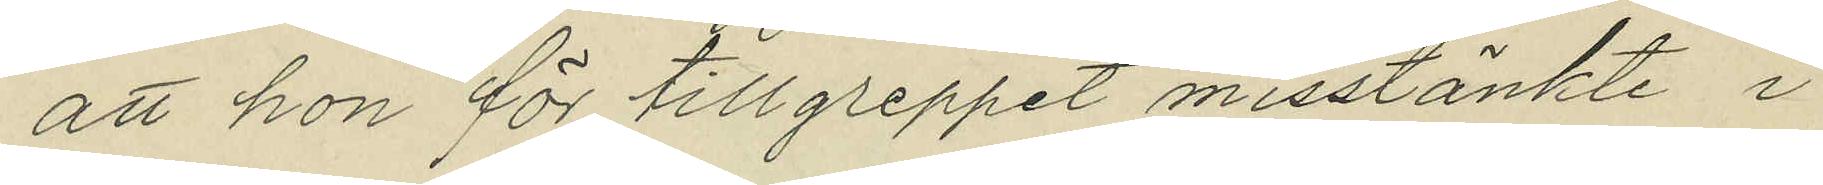att hon för tillgreppet misstänkte i
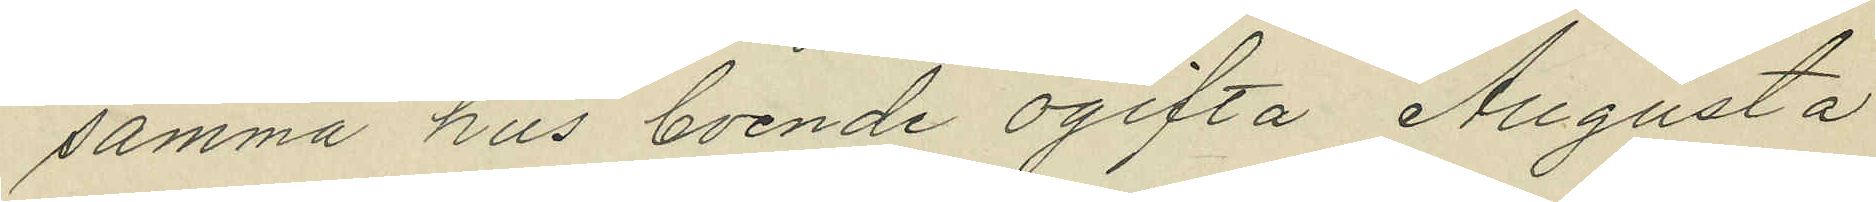samma hus boende ogifta Augusta
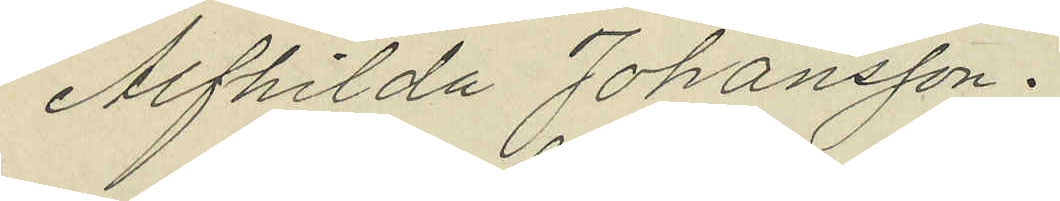Alfhilda Johansson.
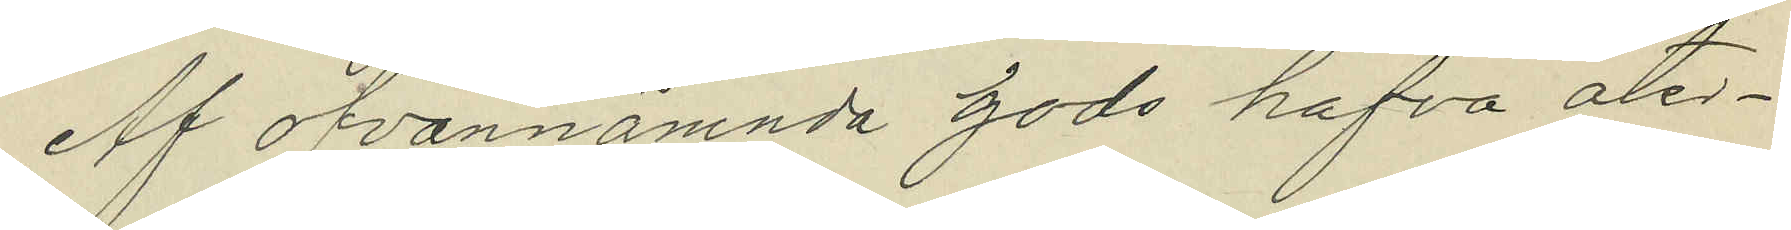Af ofvannämnda gods hafva åter¬
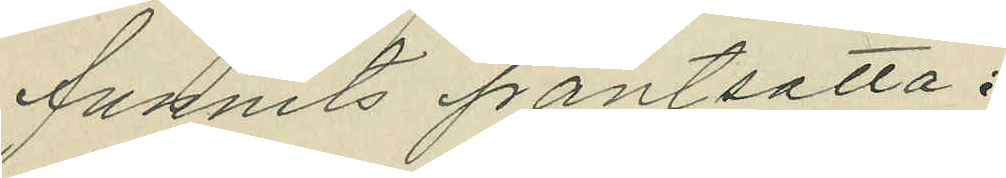funnits pantsatta:
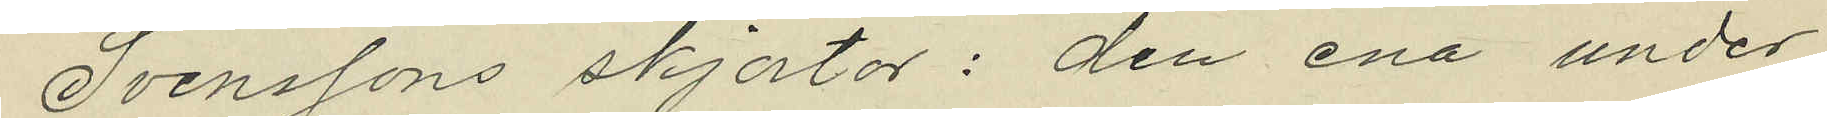Svenssons skjortor: den ena under
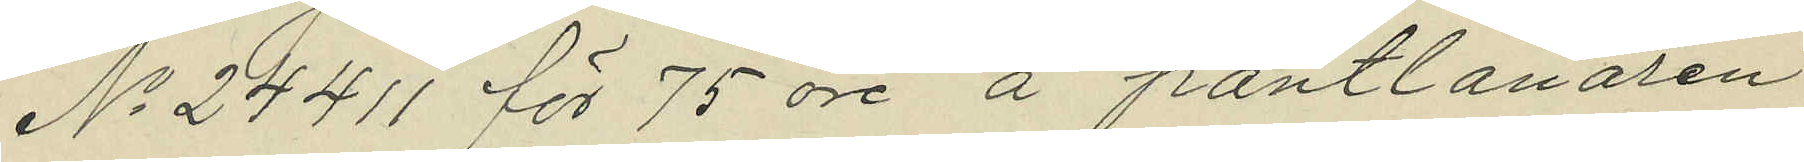No 24411 för 75 öre å pantlånaren
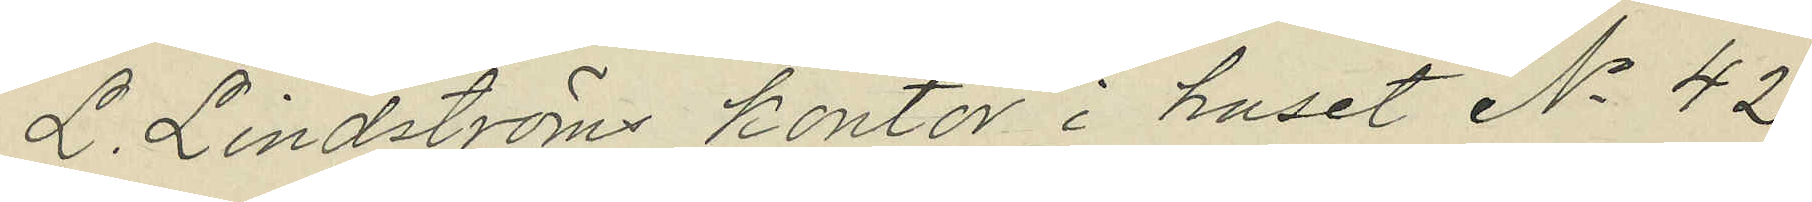L. Lindströms kontor i huset No 42
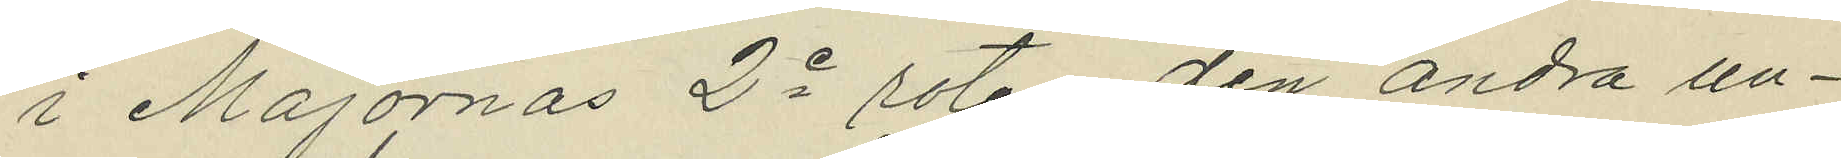i Majornas 2e rote; den andra un¬
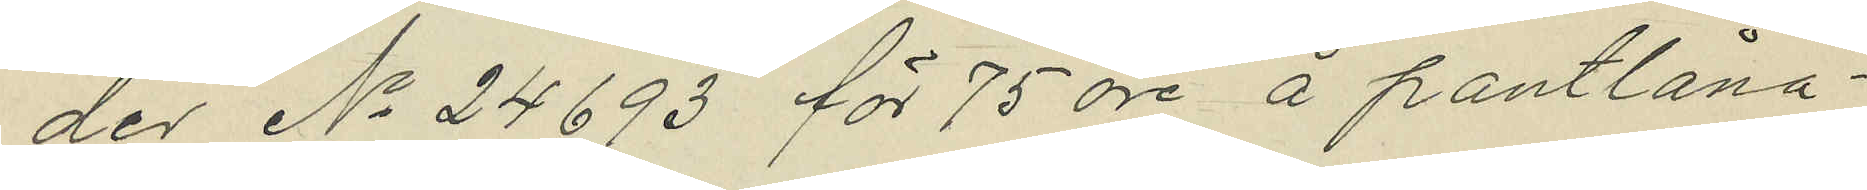der No 24693 för 75 öre å pantlåna¬
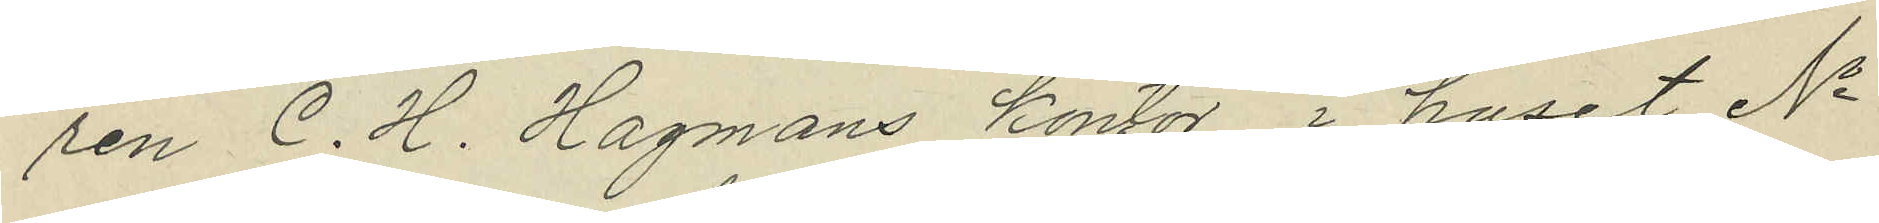ren C. H. Hagmans kontor i huset No
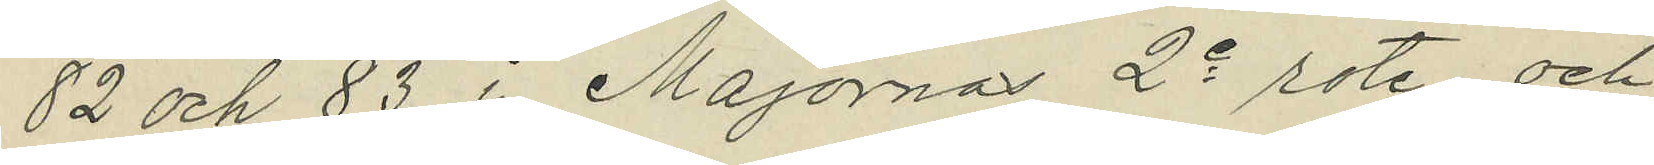82 och 83 i Majornas 2e rote, och
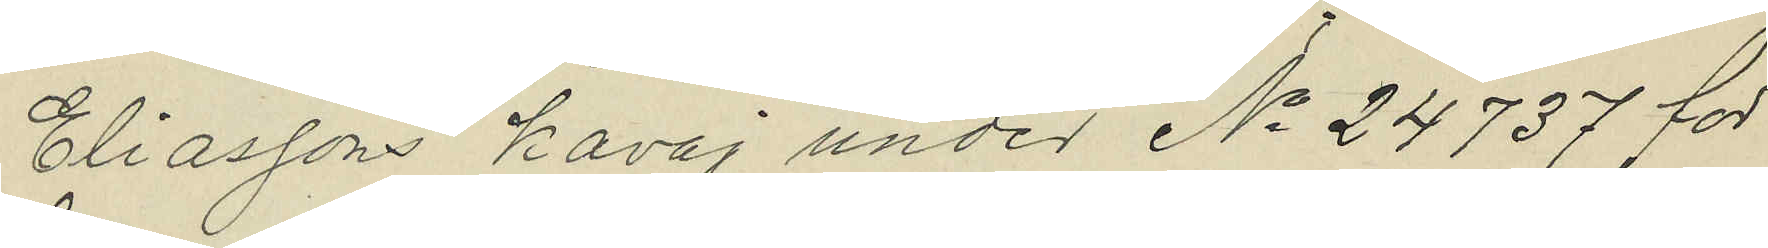Eliassons kavaj under No 24737 för
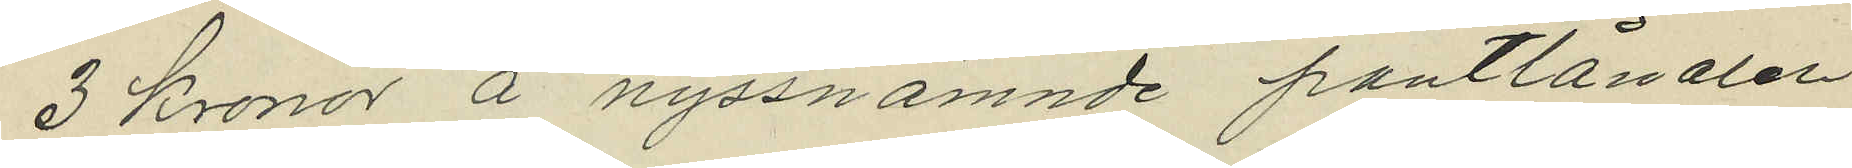3 Kronor å nyssnämnde pantlånaren
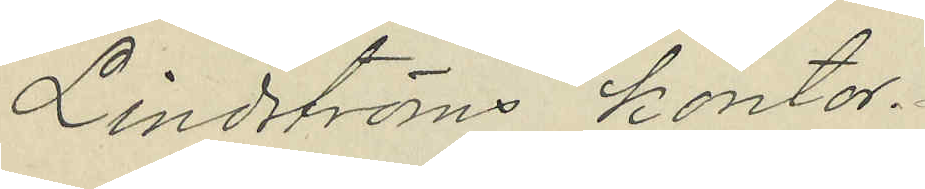Lindströms kontor.
